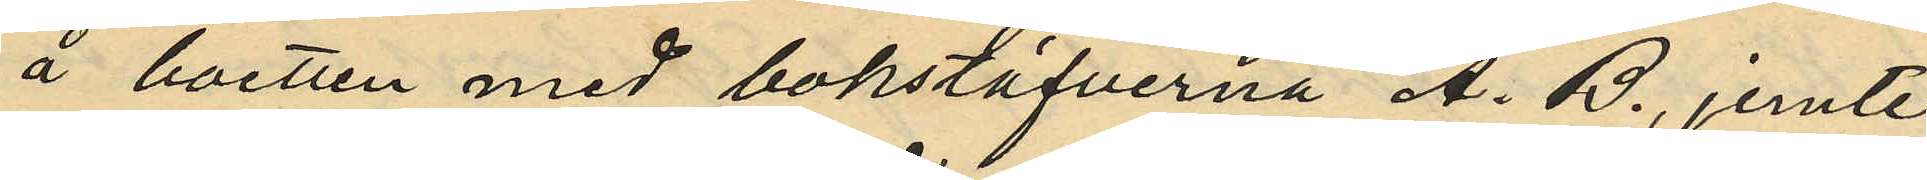å boetten med bokstäfverna A. B., jemte
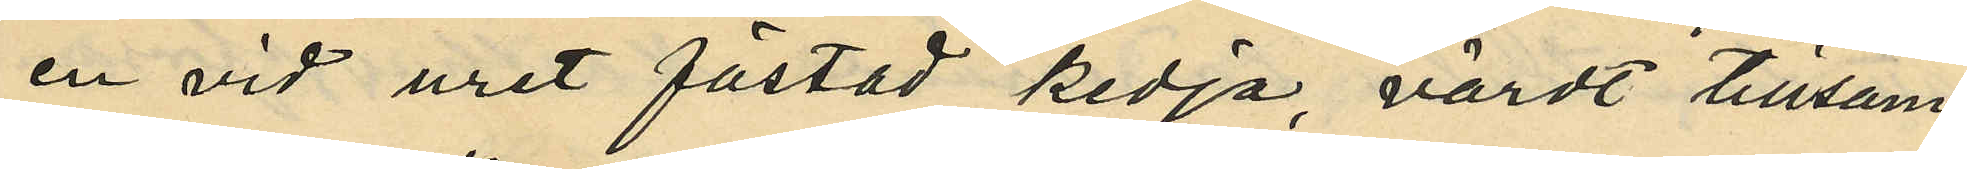en vid uret fästad kedja, värdt tillsam¬
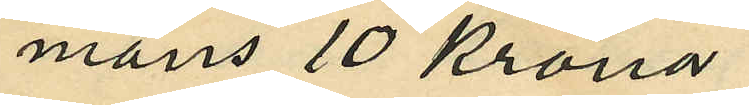mans 10 kronor.
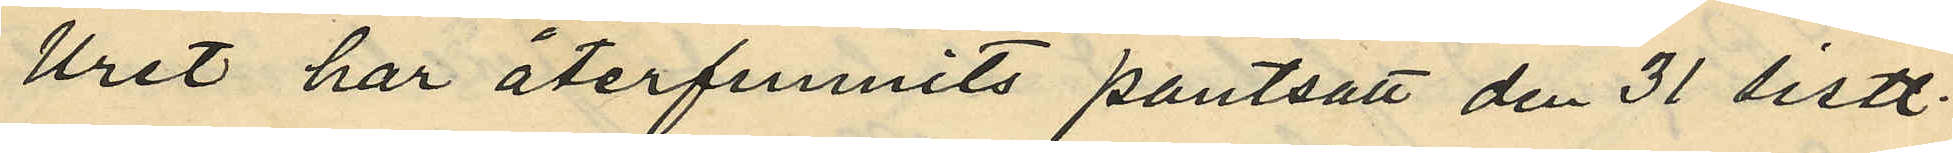Uret har återfunnits pantsatt den 31 sistl.
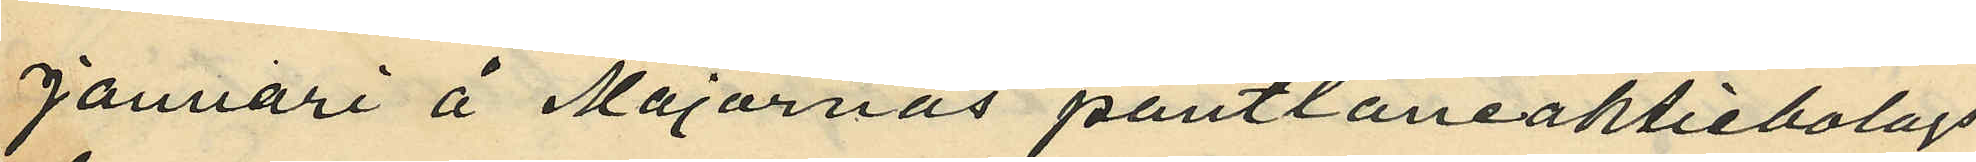Januari å Majornas pantlåneaktiebolags
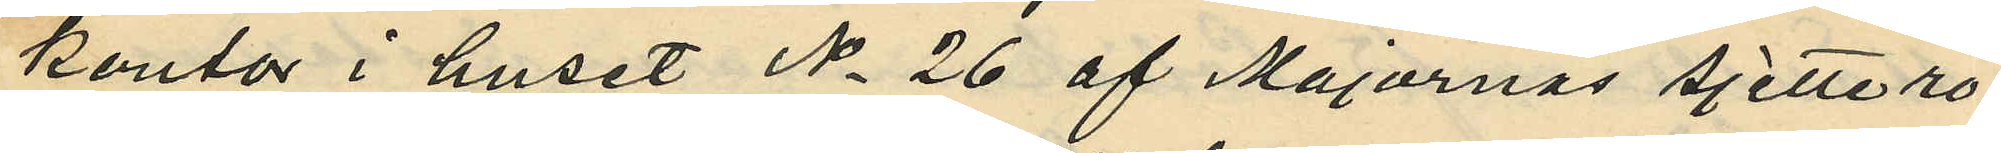kontor i huset No 26 af Majornas Sjette ro¬
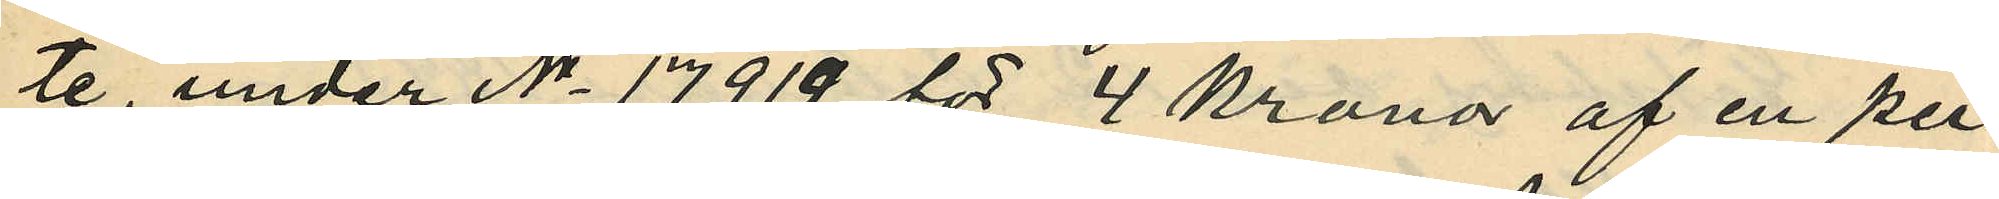te, under No 17919 för 4 kronor af en per¬
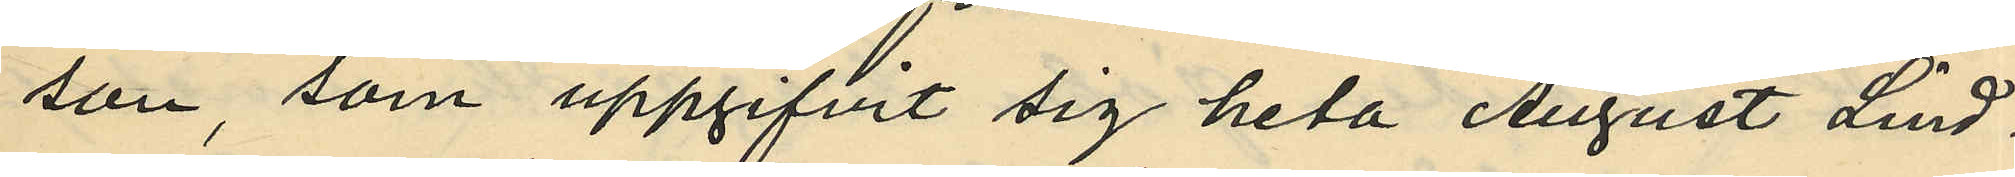son, som uppgifvit sig heta August Lind¬
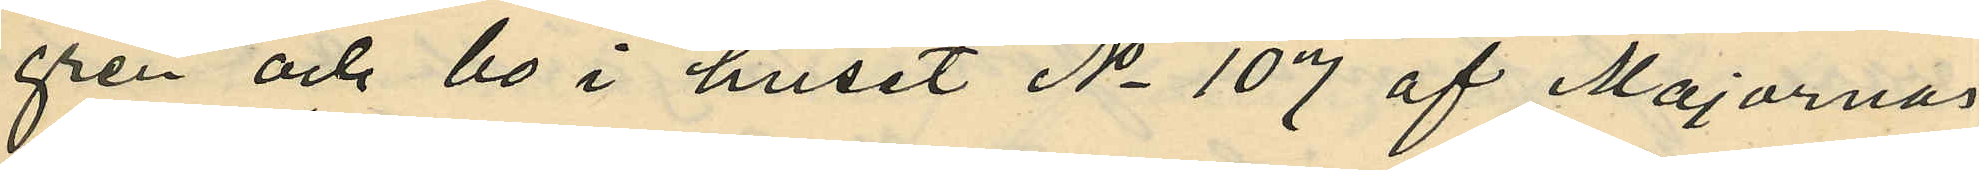gren och bo i huset No 107 af Majornas
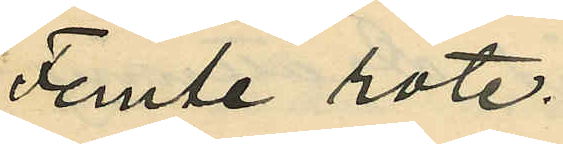Femte rote.
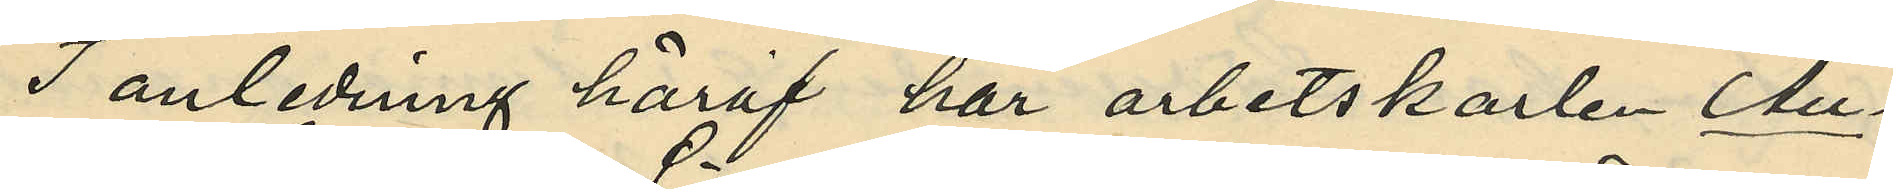I anledning häraf har arbetskarlen An¬
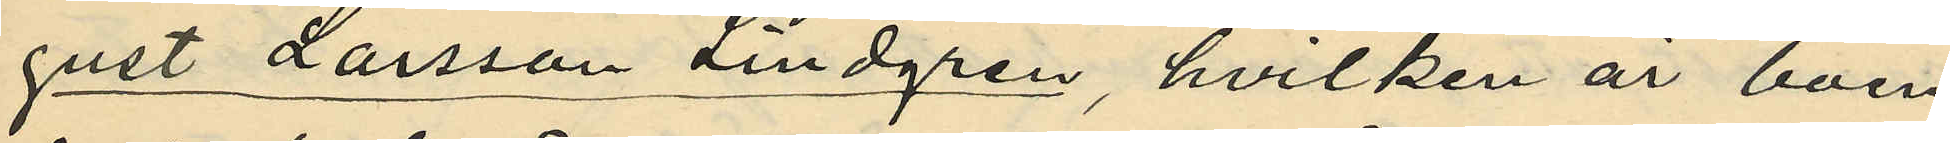gust Larsson Lindgren, hvilken är boen¬
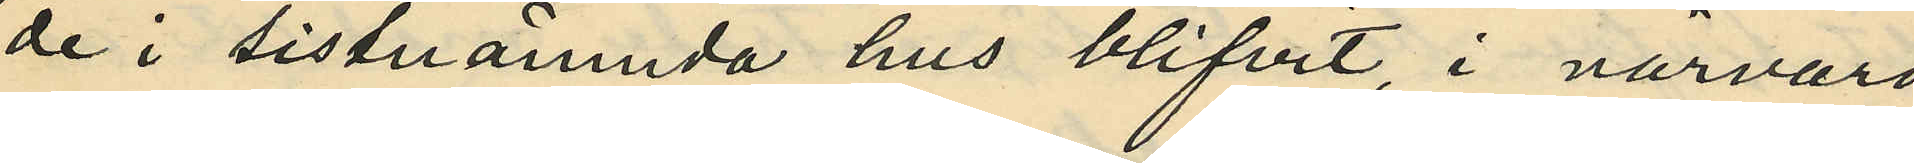de i sistnämnda hus blifvit, i närvaro
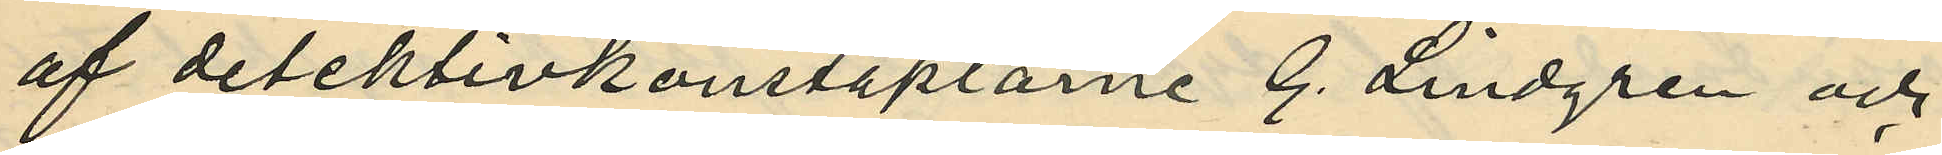af detektivkonstaplarne G. Lindgren och
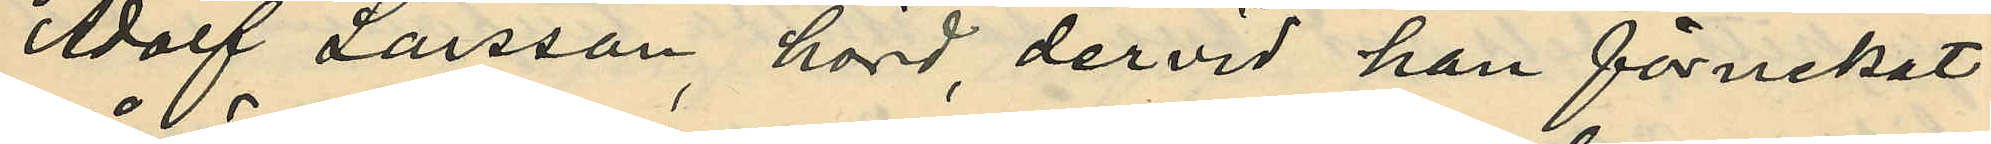Adolf Larsson hörd, dervid han förnekat
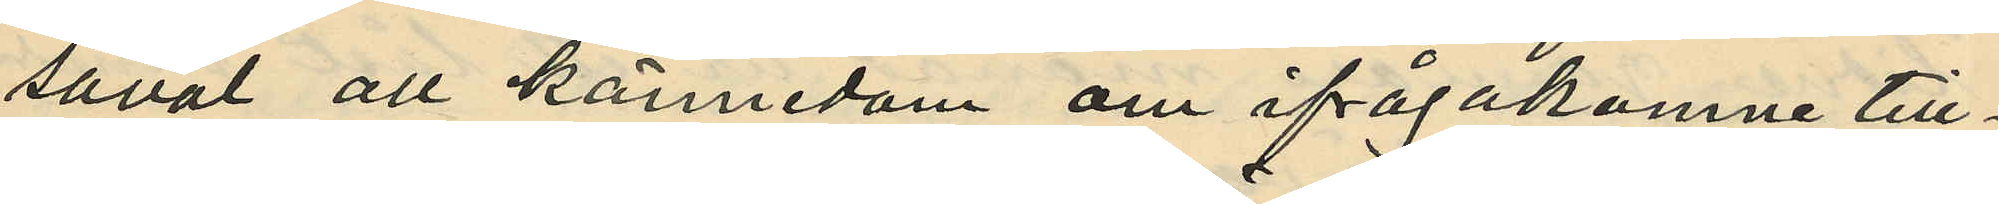såväl all kännedom om ifrågakomne till¬
